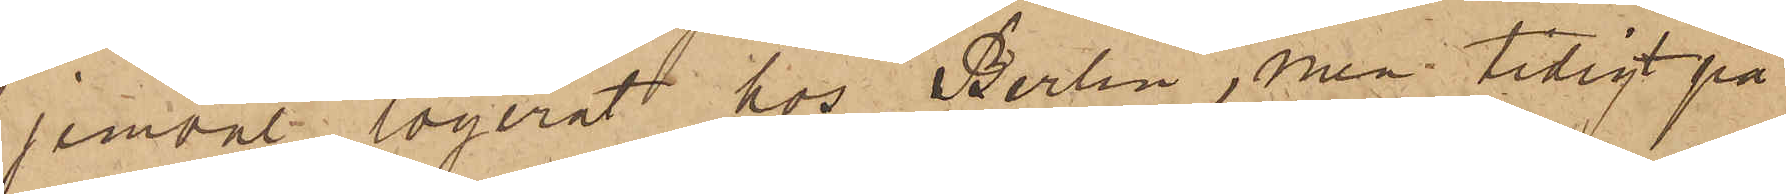jemväl logerat hos Berlin, men tidigt på
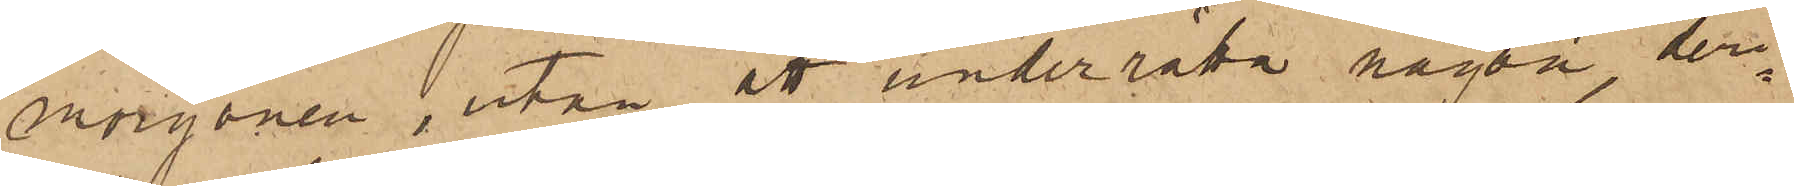morgonen, utan att underrätta någon, deri¬
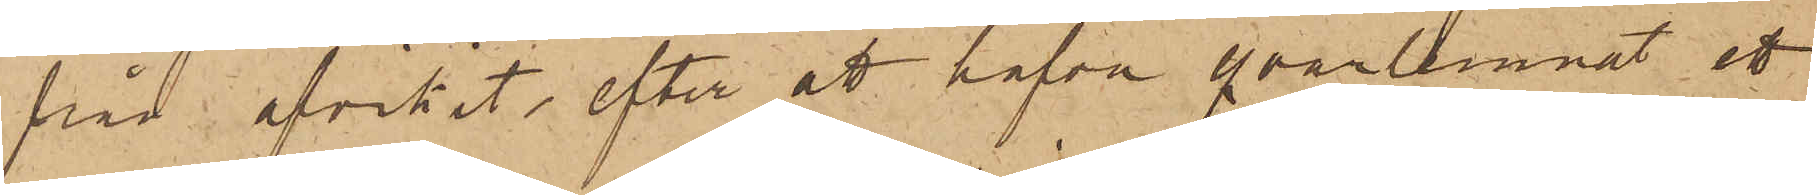från afvikit, efter att hafva qvarlemnat ett
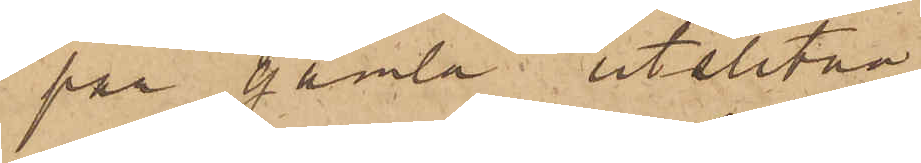par gamla utslitna
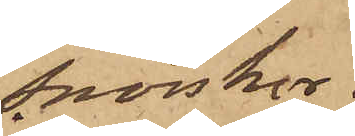snörskor.
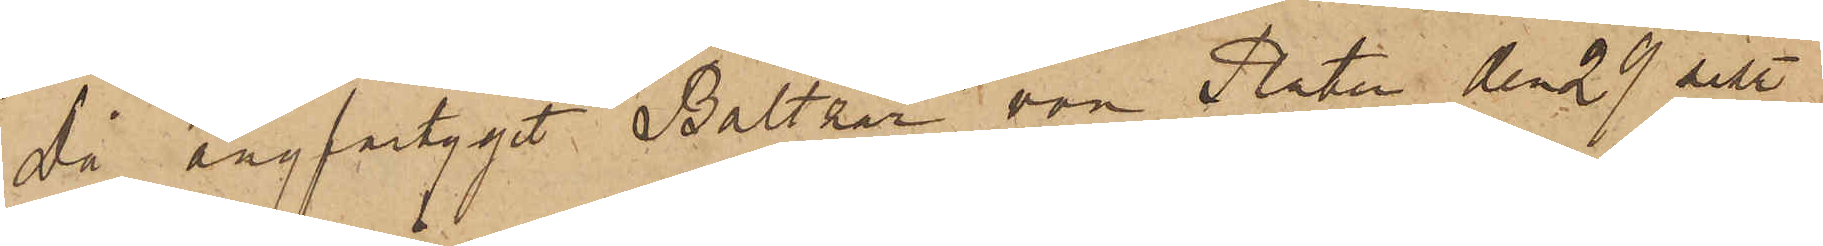Då ångfartyget Baltzar von Platen den 29 sist
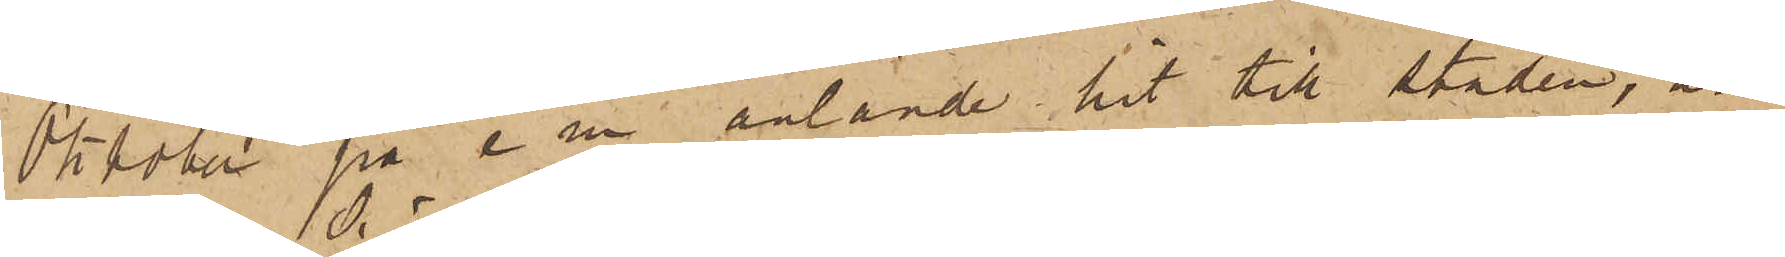Oktober på e m anlände hit till Staden, an¬
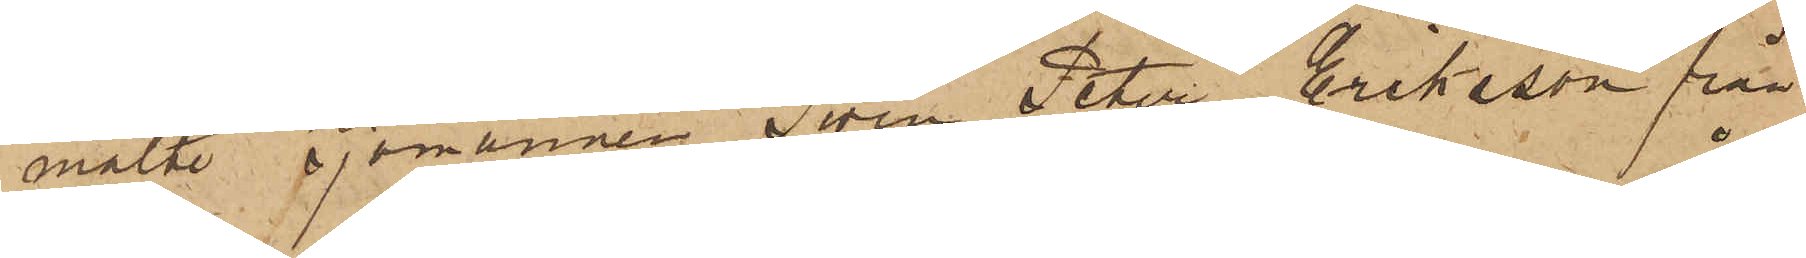mälte sjömannen Sven Peter Eriksson från
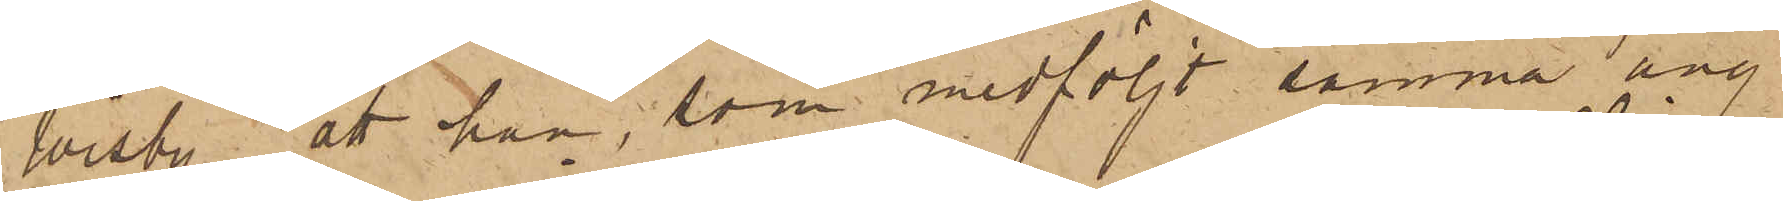Wisby, att han, som medföljt samma ång¬
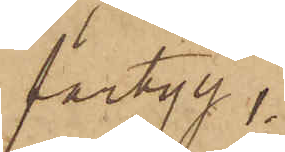fartyg,
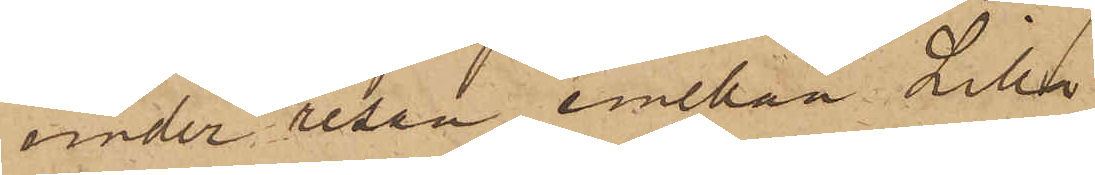under resan emellan Lilla
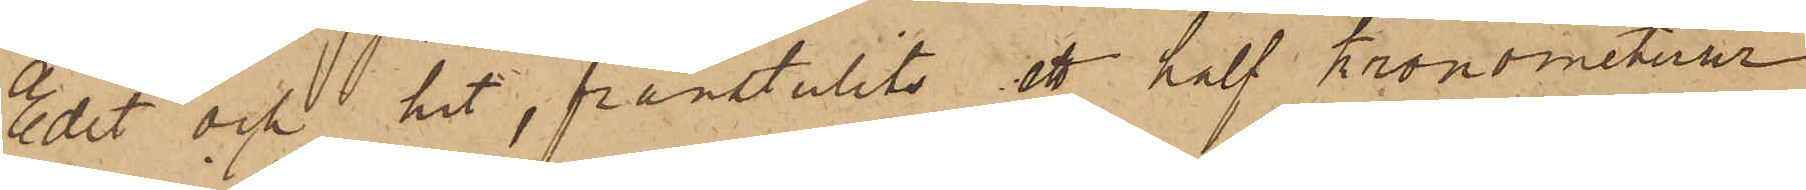Edet och hit, frånstulits ett half Kronometerur
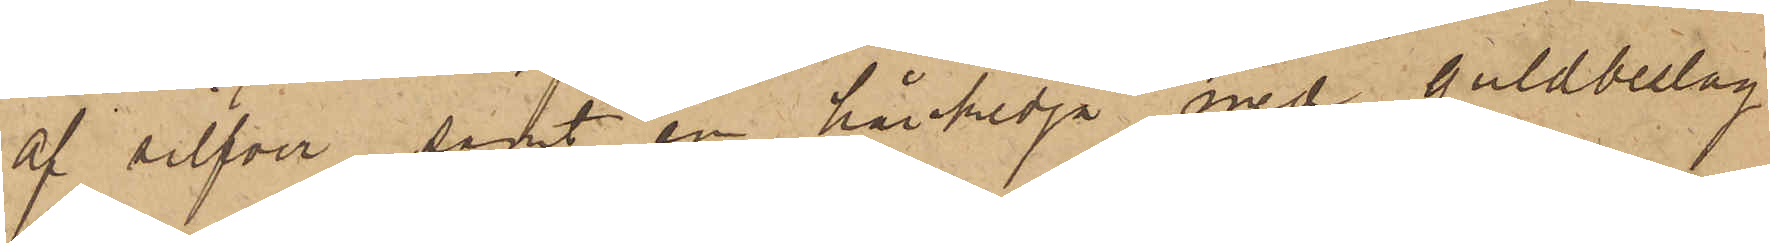af silfver, samt en hårkedja med guldbeslag
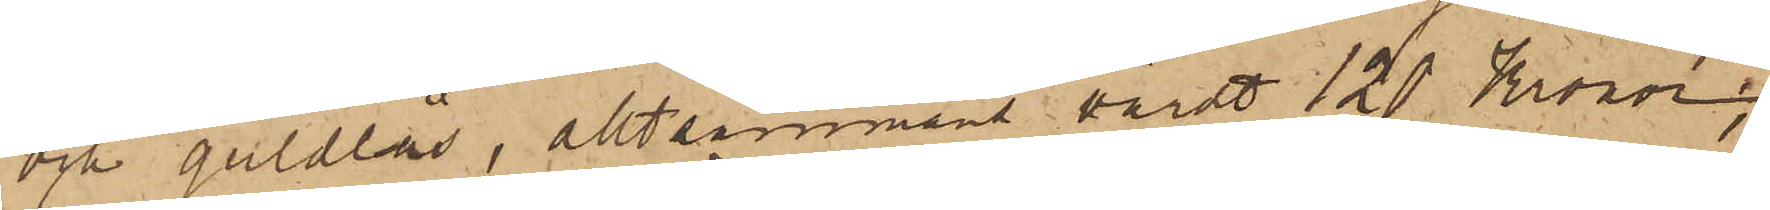och guldlås, alltsammans värdt 120 Kronor;
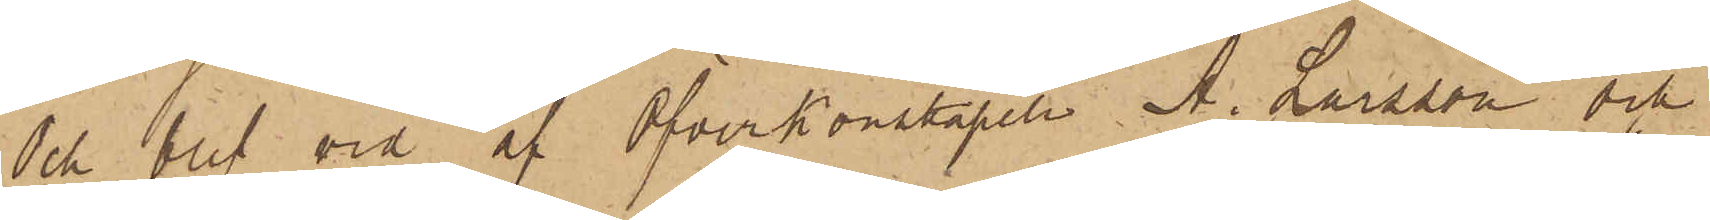Och blef vid af Öfverkonstapeln A. Larsson och
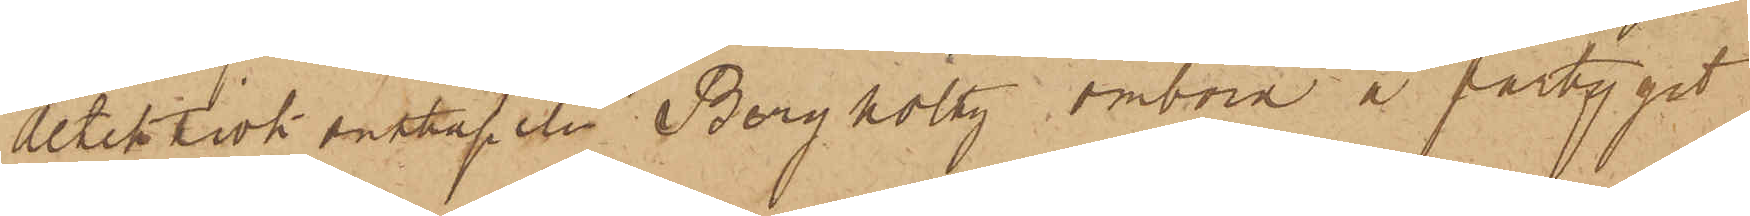detektivkonstapeln Bergholtz ombord å fartyget
